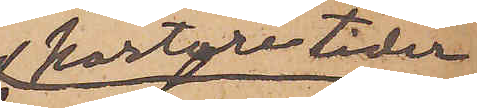kortare tider
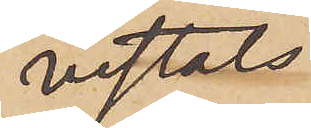vistats
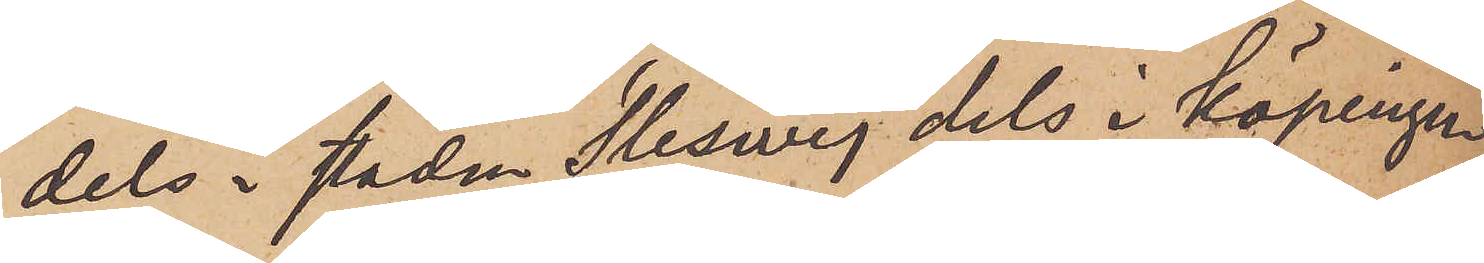dels i staden Sleswig dels i köpingen
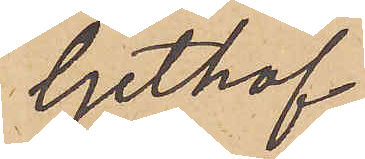Gethof
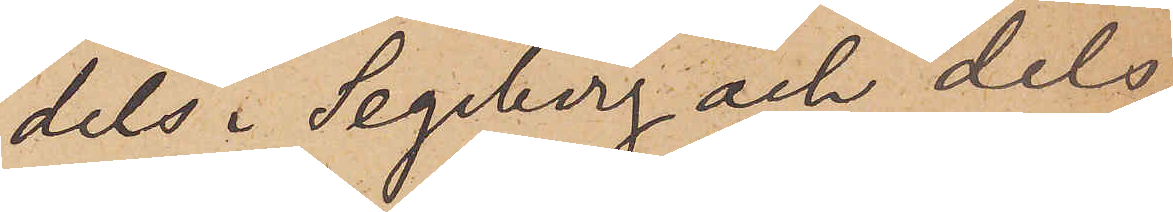dels i Segeberg och dels
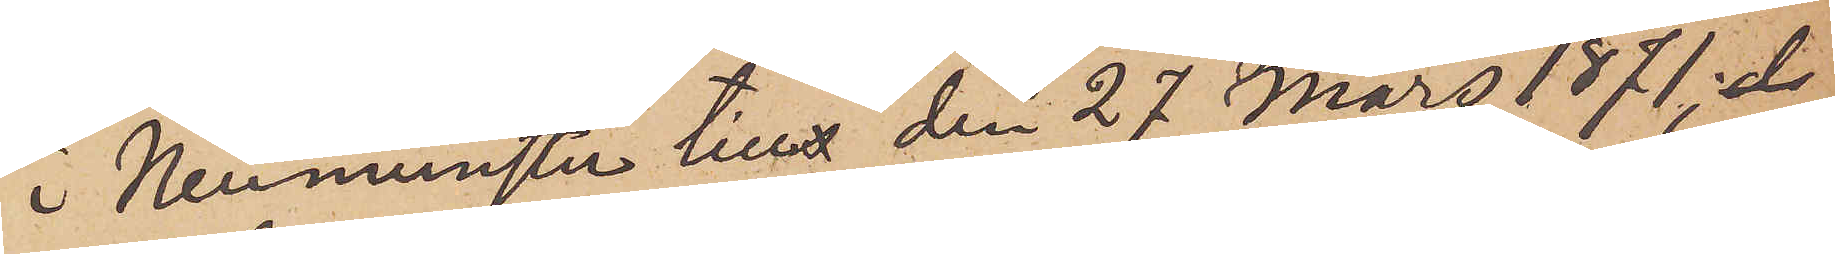i Neumünster till den 27 Mars 1871;
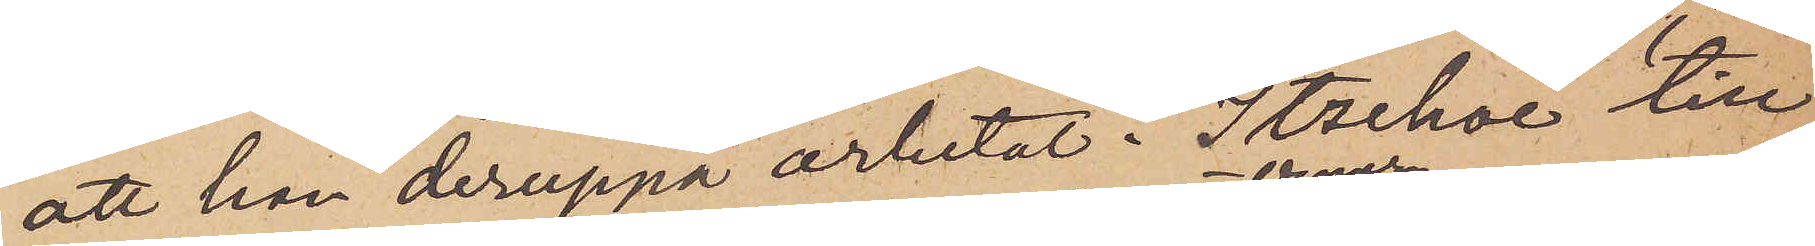att han deruppå arbetat i Itzehoe till
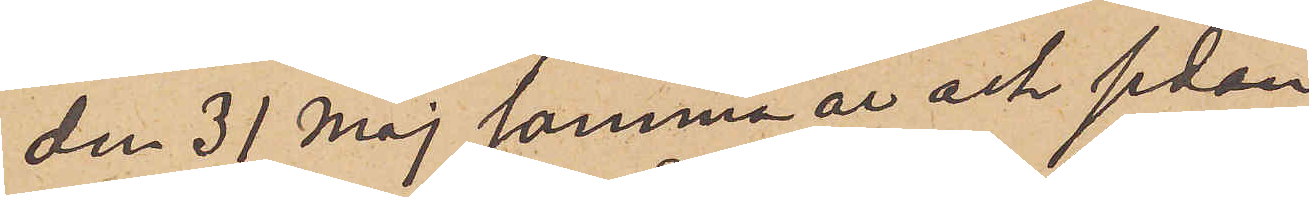den 31 Maj samma år och sedan
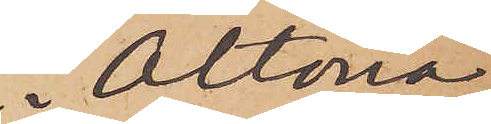i  Altona
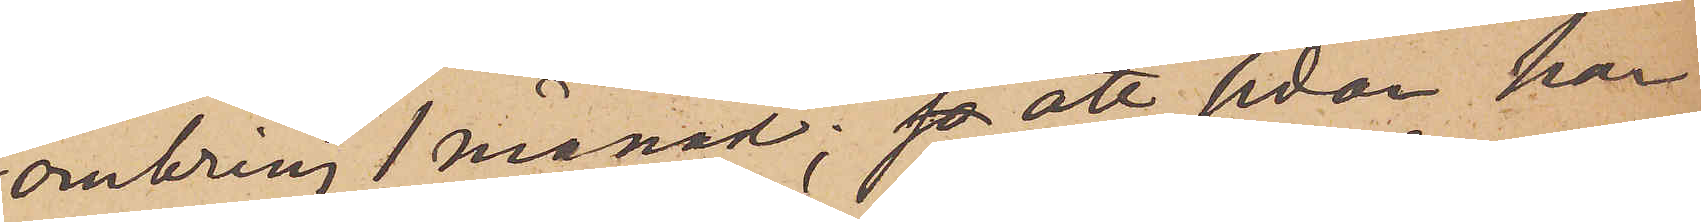omkring 1 månad; så att sedan han
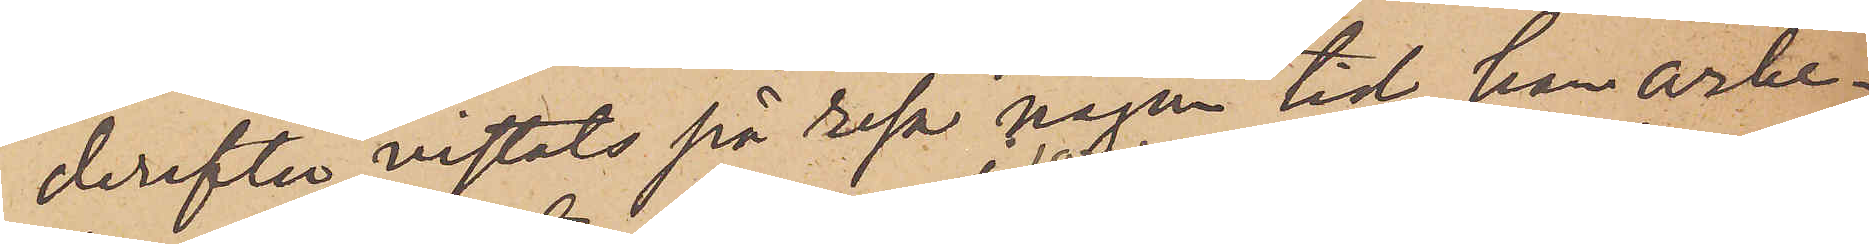derefter vistats på resa någon tid, han arbe¬
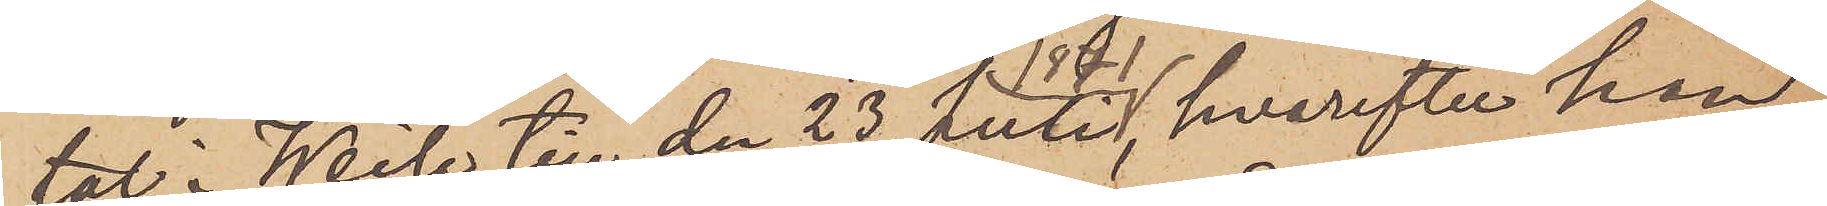tat i Weile till den 23 Juli 1871, hvarefter han,
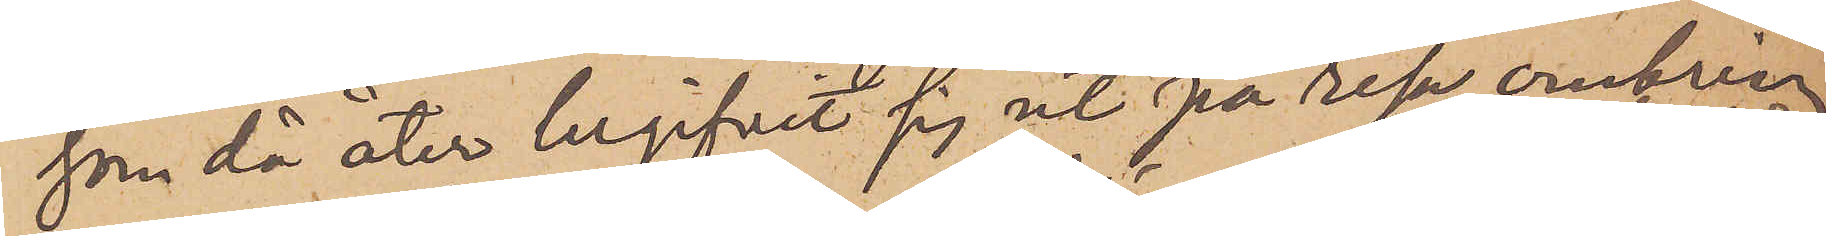som då åter begifvit sig ut på resa omkring
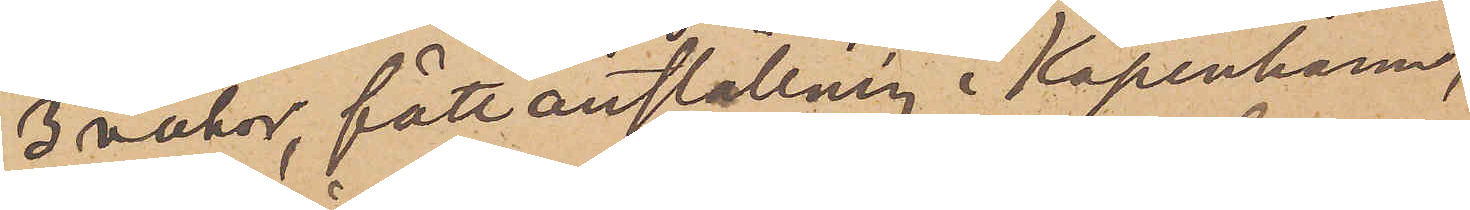3 veckor, fått anställning i Köpenhamn,
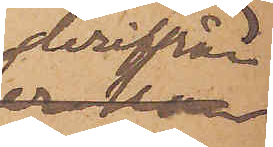derifrån
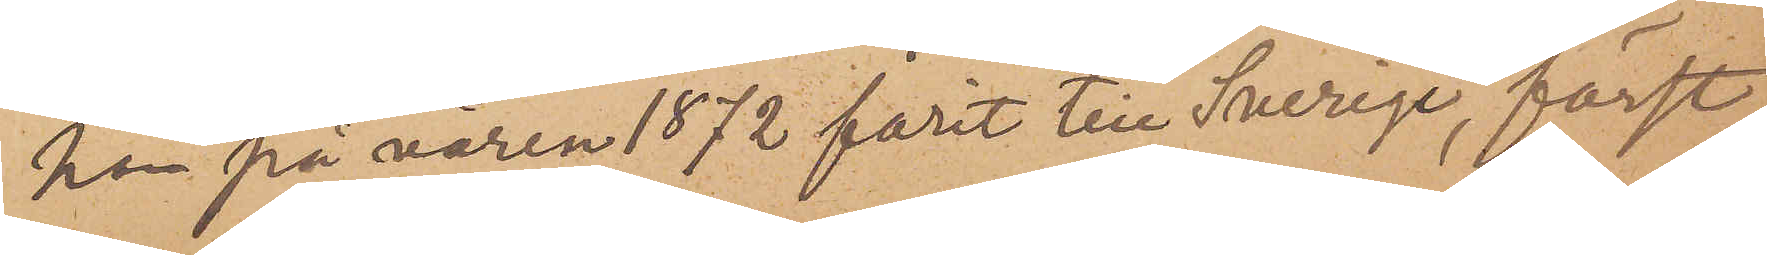han på våren 1872 farit till Sverige, först
